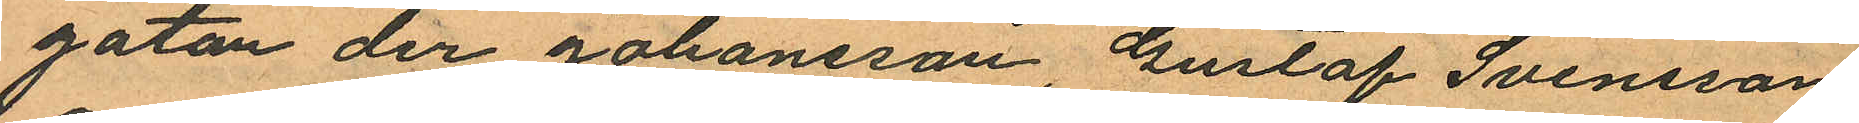gatan der Johansson, Gustaf Svensson
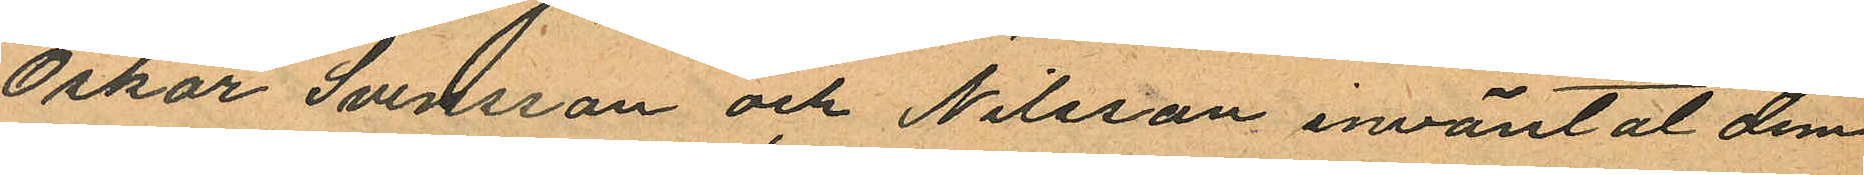Oskar Svensson och Nilsson inväntat dem
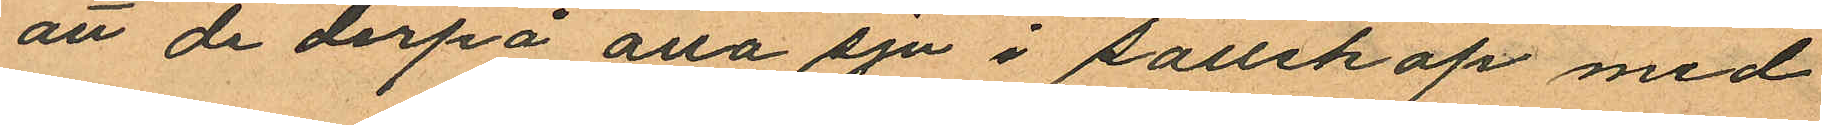att de derpå alla sju i sällskap med
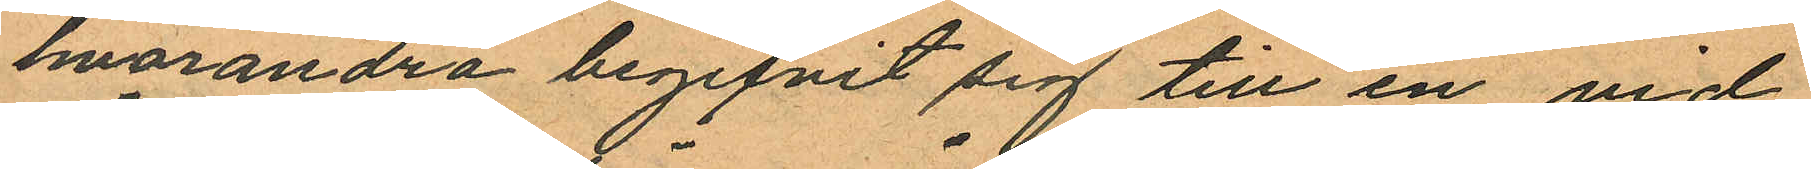hvarandra begifvit sig till en vid
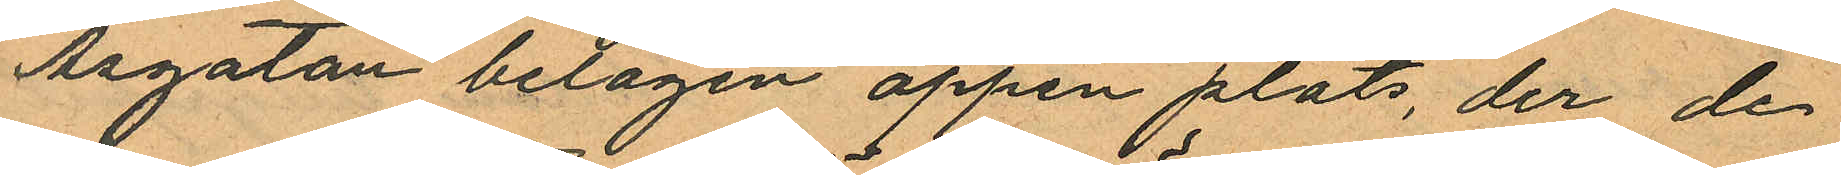Åsgatan belägen öppen plats, der de
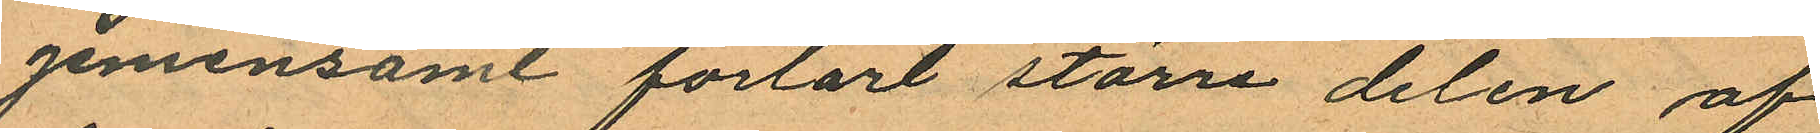gemensamt förtärt större delen af
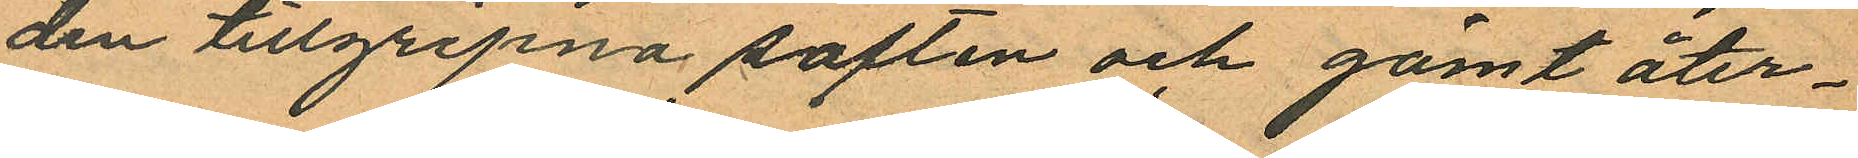den tillgripna saften och gömt åter¬
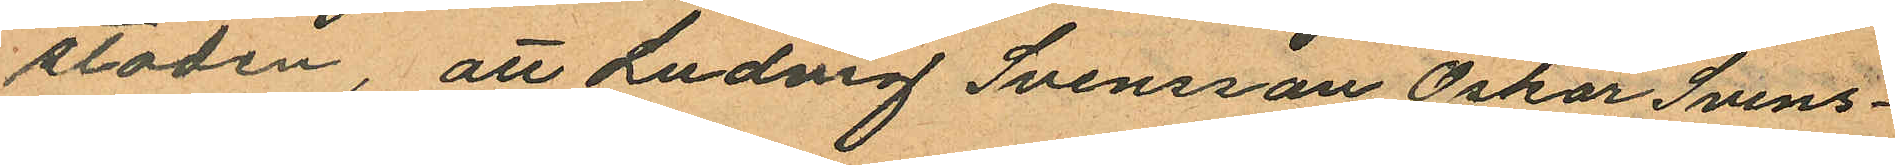stoden, att Ludvig Svensson Oskar Svens¬
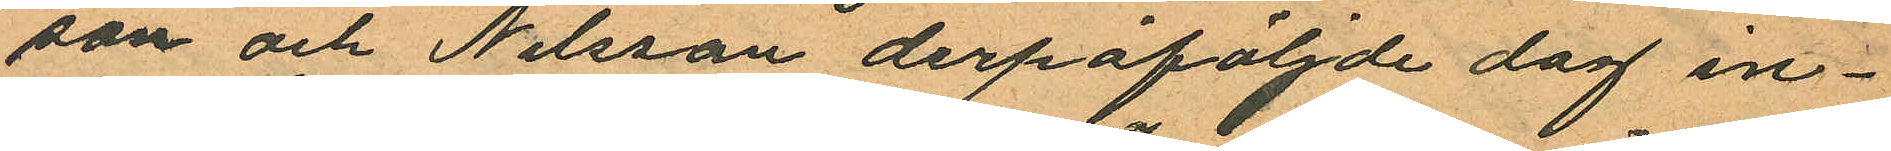son och Nilsson derpåföljande dag in¬
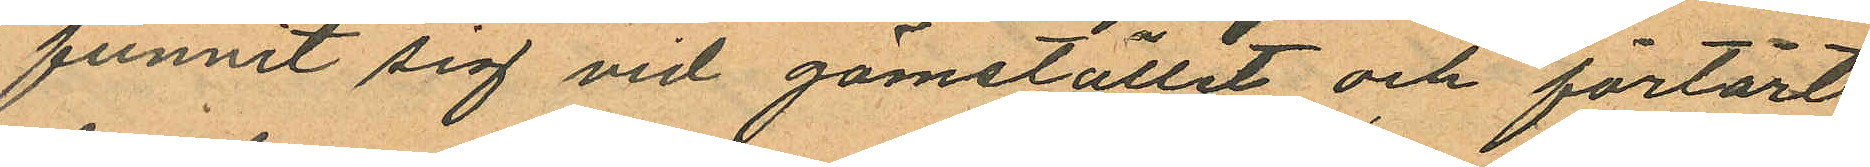funnit sig vid gömstället och förtärt
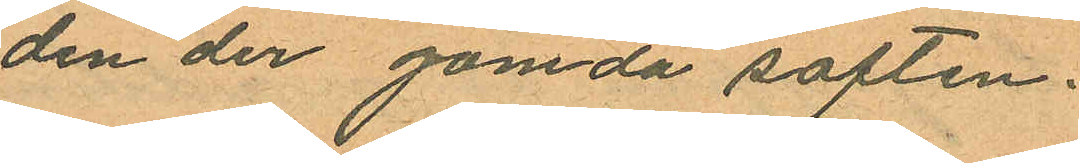den der gömda saften.
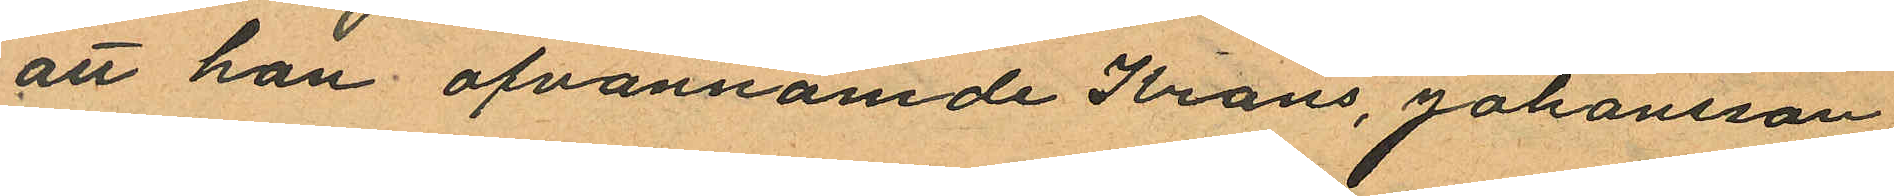att han ofvannämde Krans, Johansson
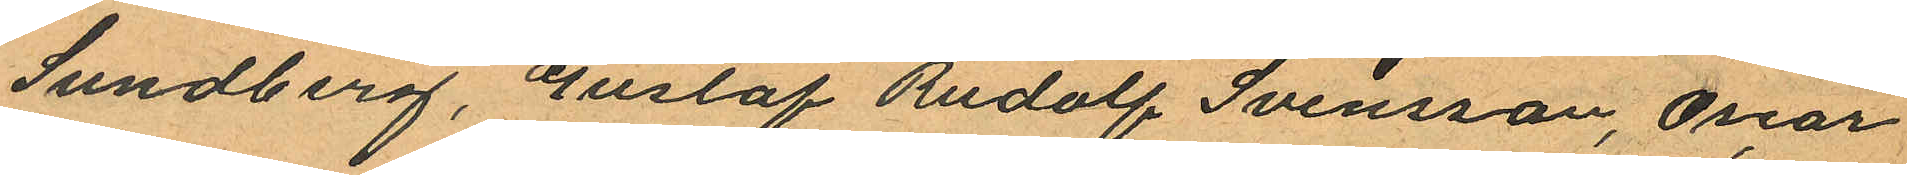Sundberg, Gustaf Rudolf Svensson, Oscar
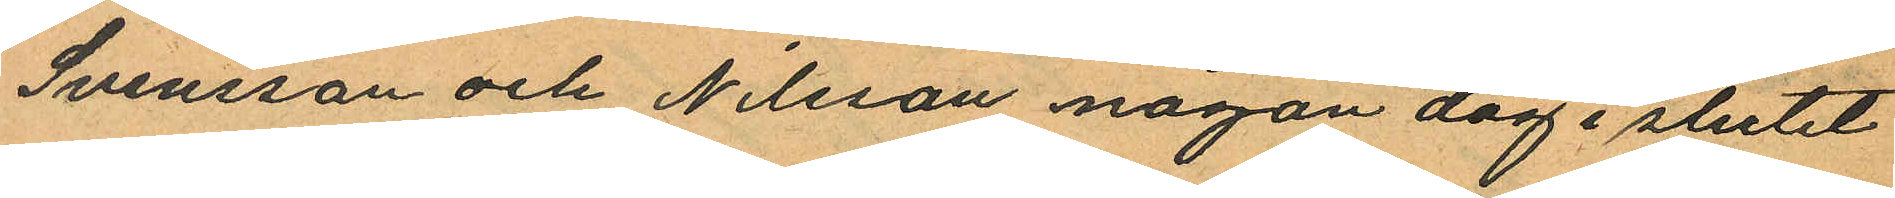Svensson och Nilsson någon dag i slutet
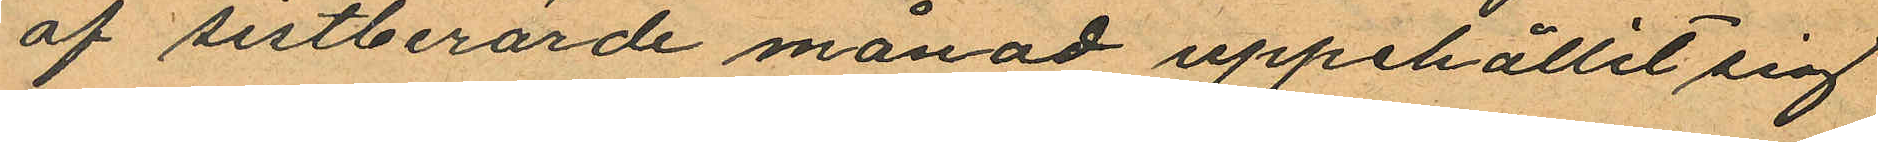af sistberörde månad uppehållit sig
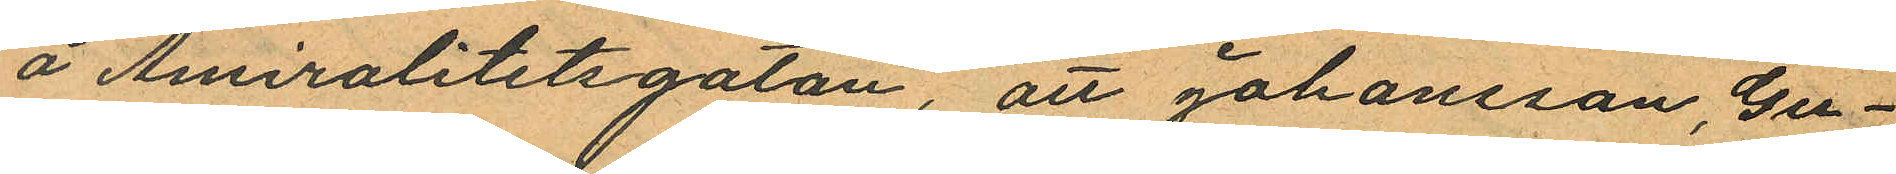å Amiralitetsgatan, att Johansson, Gu¬
